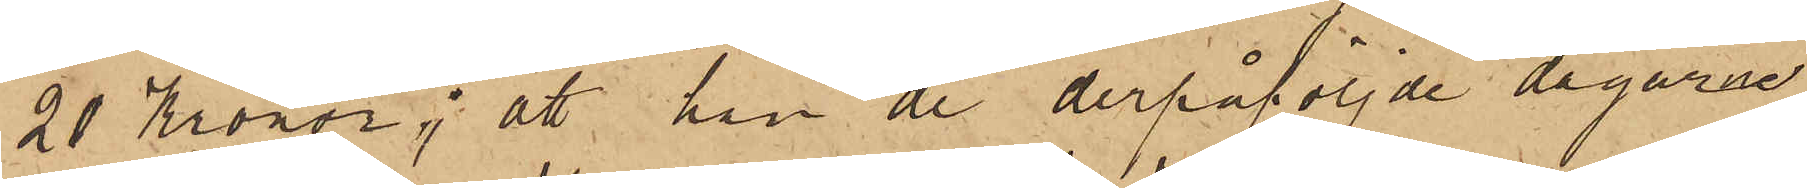20 Kronor; att han de derpåföljde dagarne
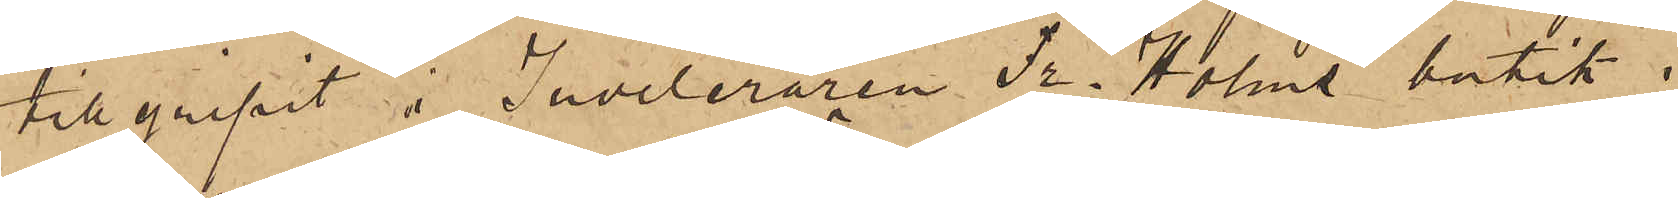tillgripit i Juveleraren Fr. Holms butik i
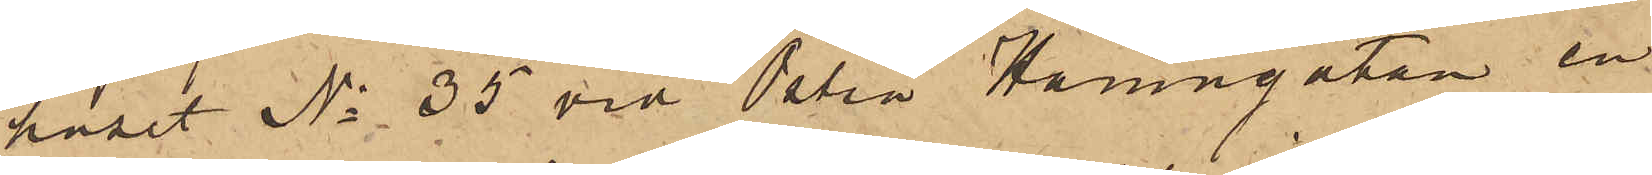huset No 35 vid Östra Hamngatan en
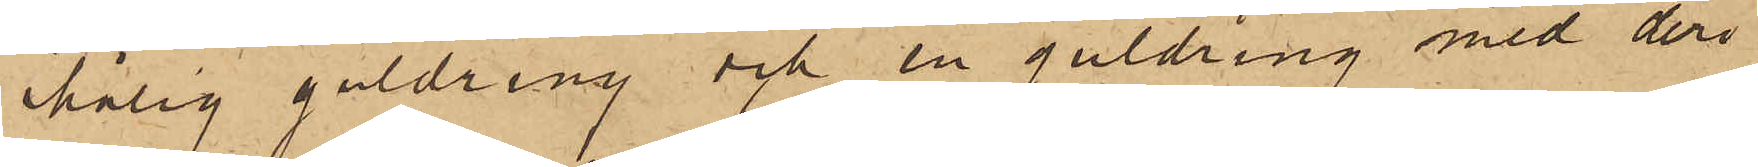ihålig guldring och en guldring med deri
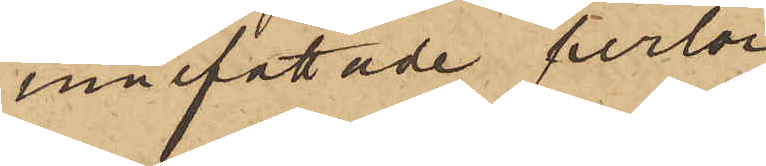innefattade perlor
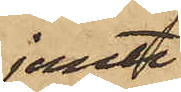jemte
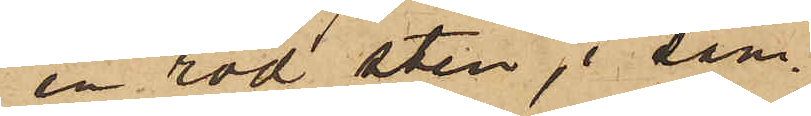en röd sten, i sam¬
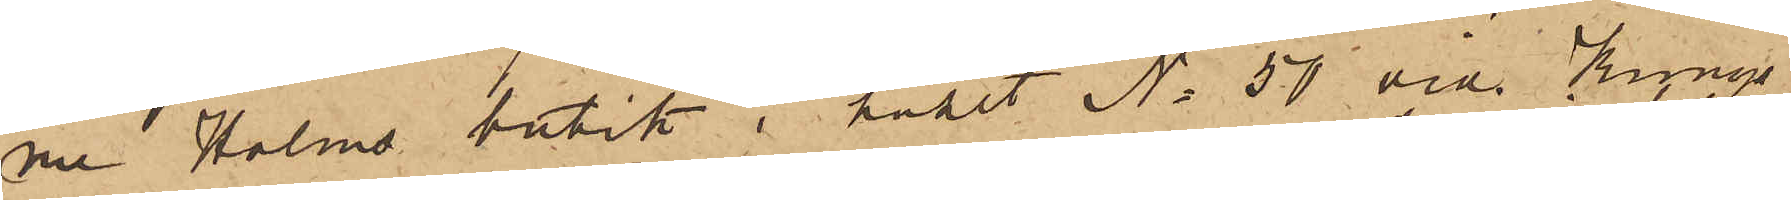ne Holms butik i huset No 50 vid Kungs¬
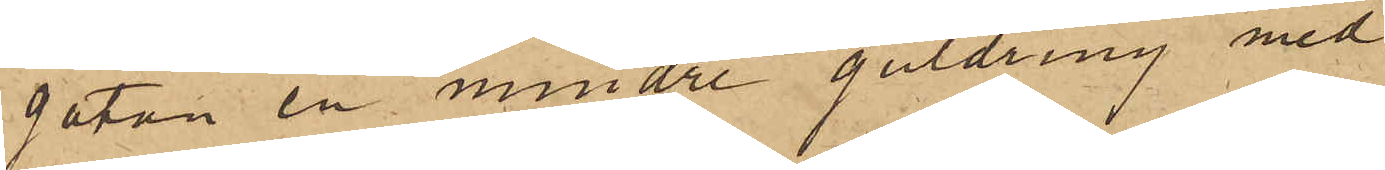gatan en mindre guldring med
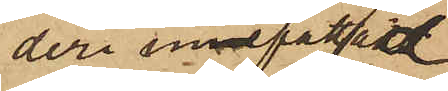deri infattad
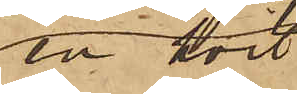en hvit
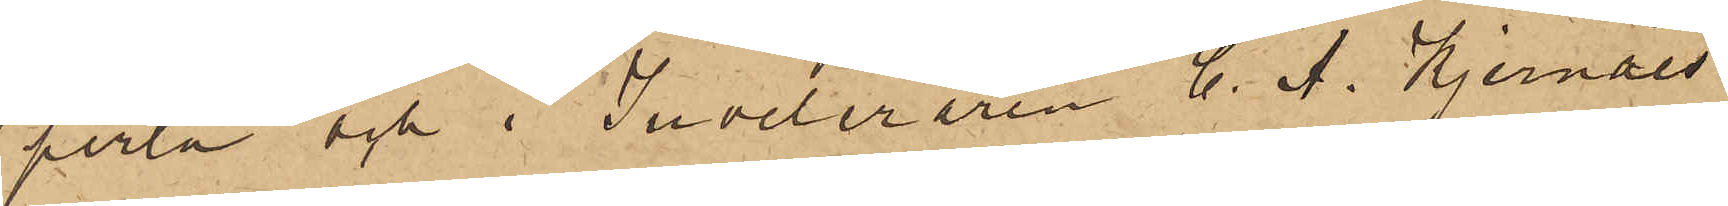perla och i Juveleraren C. A. Kjernåes
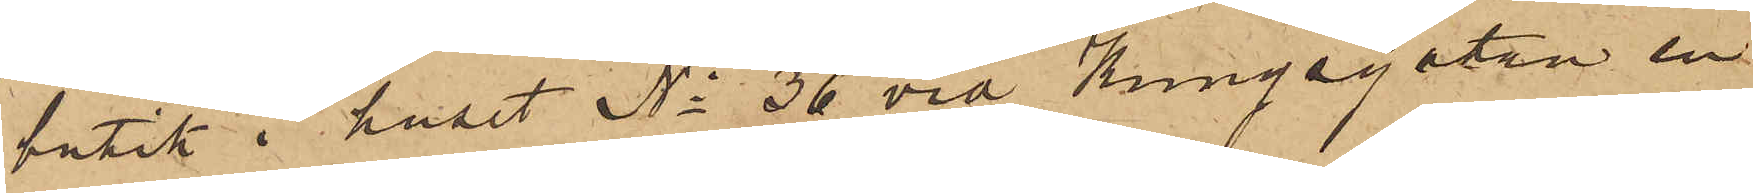butik i huset No 36 vid Kungsgatan en
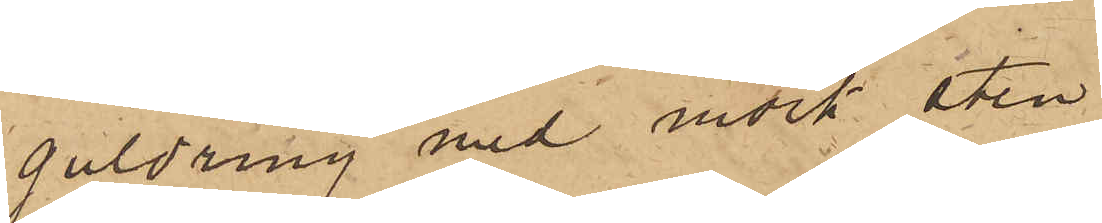guldring med mörk sten;
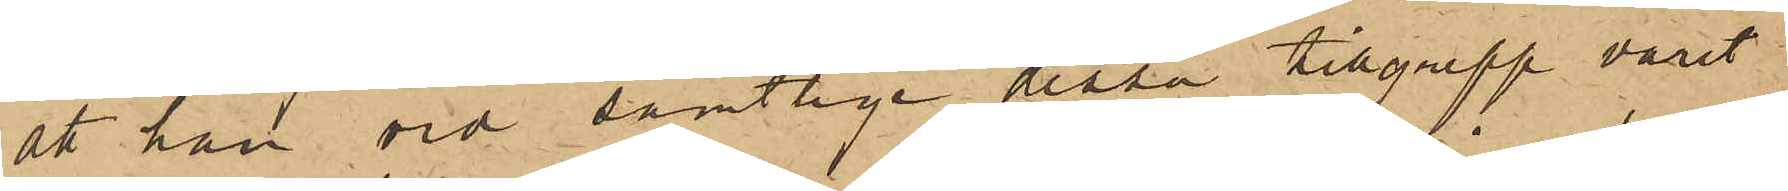att han vid samtlige dessa tillgrepp varit
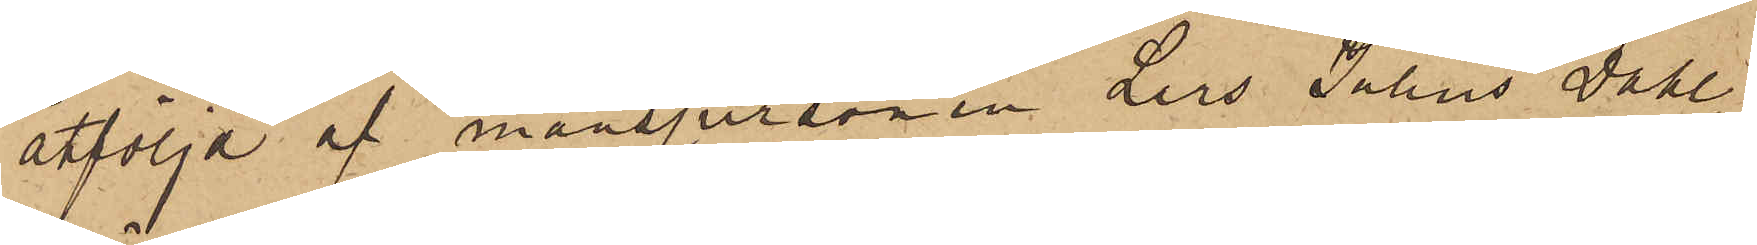åtföljd af manspersonen Lars Julius Dahl¬
